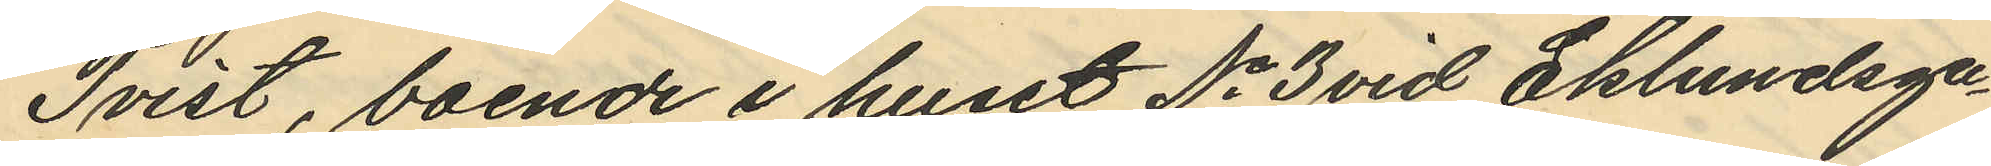Tvist, boende i huset No 3 vid Eklundsga¬
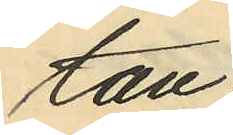tan.
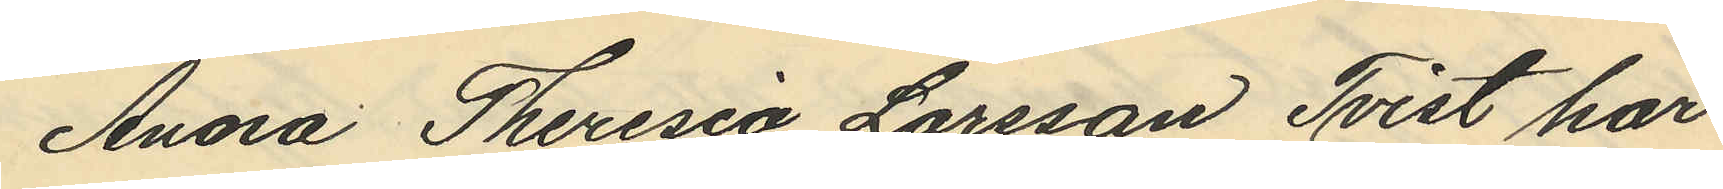Anna Theresia Larsson Tvist har
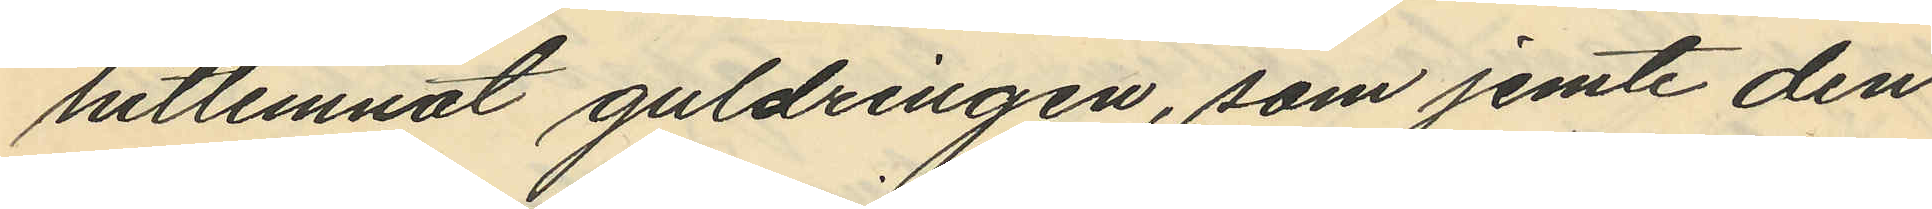hitlemnat guldringen, som jemte den
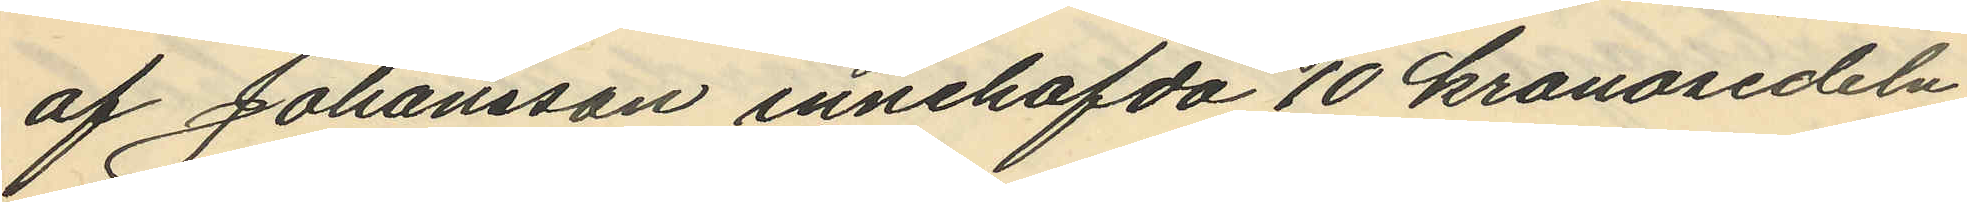af Johansson innehafda 10 kronosedeln
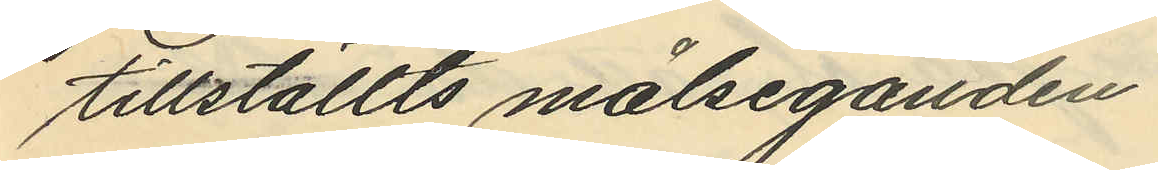tillställts målseganden.
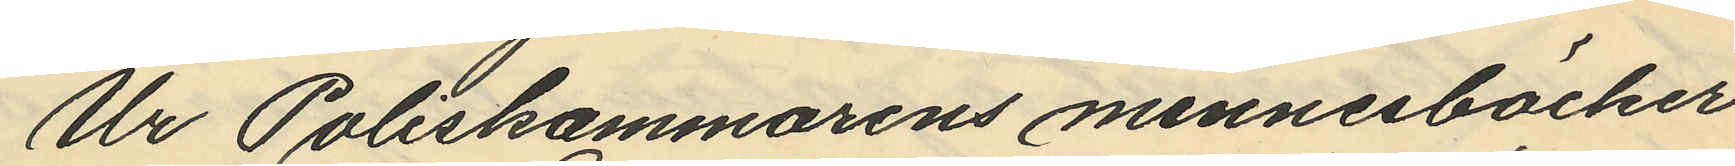Ur Poliskammarens minnesböcker
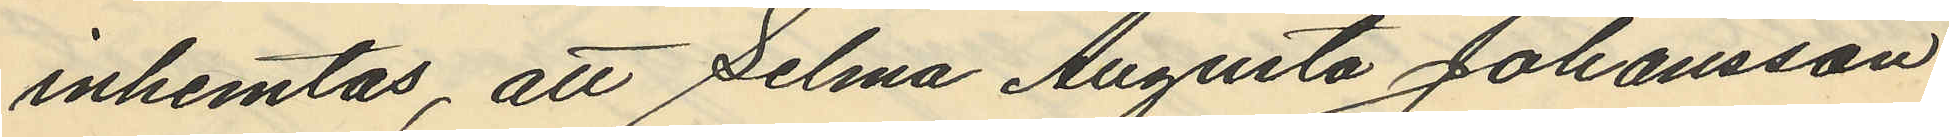inhemtas att Selma Augusta Johansson
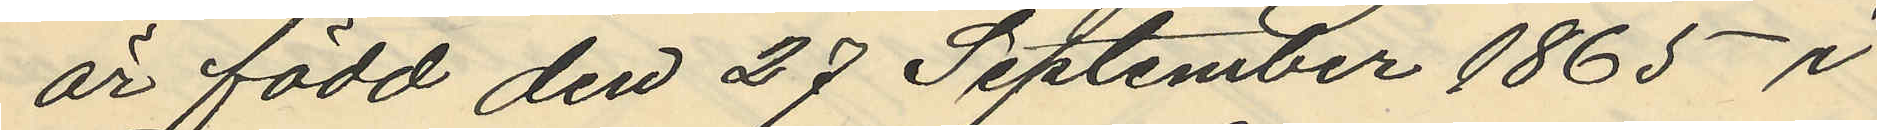är född den 27 September 1865 i
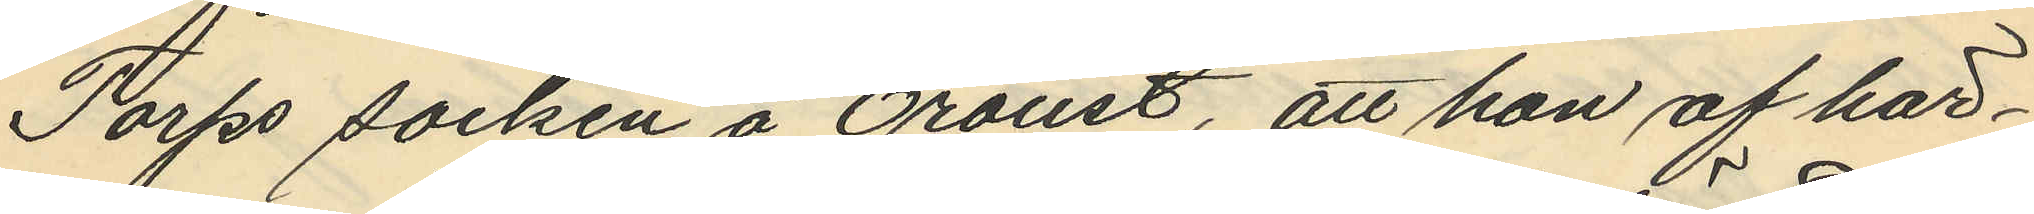Torps socken å Oroust, att hon af här¬
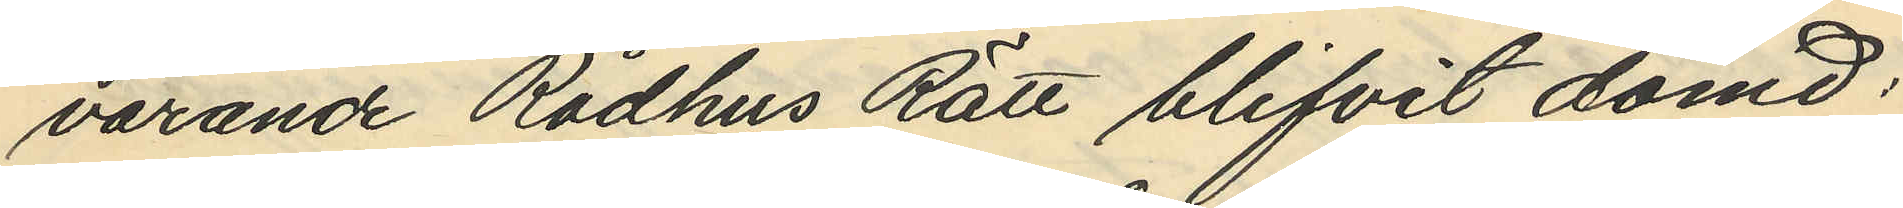varande Rådhus Rätt blifvit dömd:
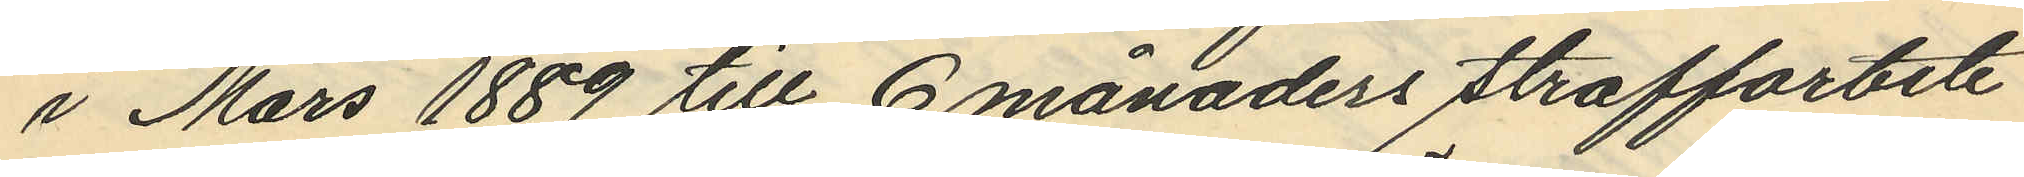i Mars 1889 till 6 månaders straffarbete
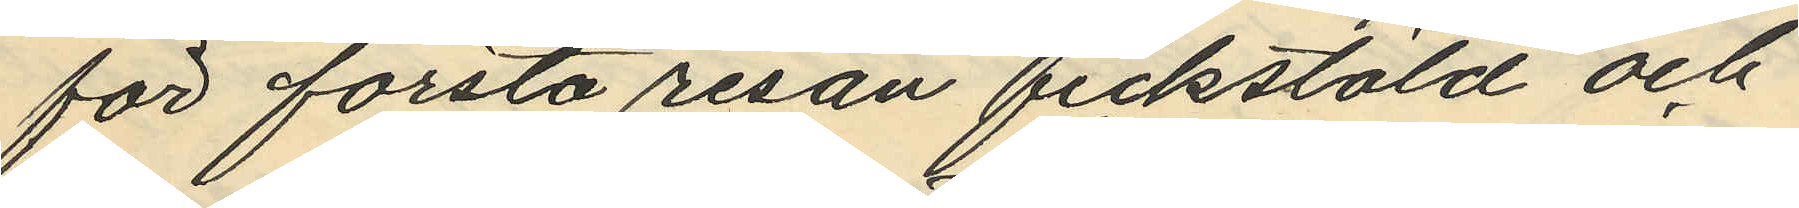för första resan fickstöld och
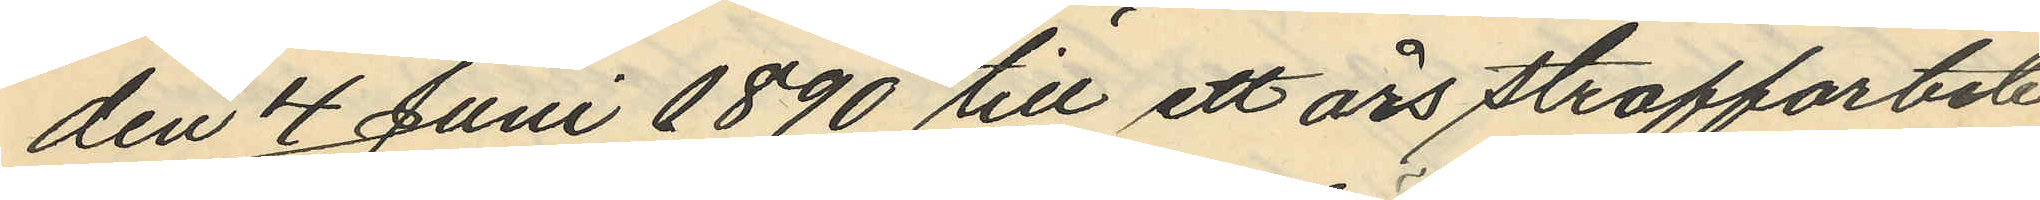den 4 Juni 1890 till ett års straffarbete
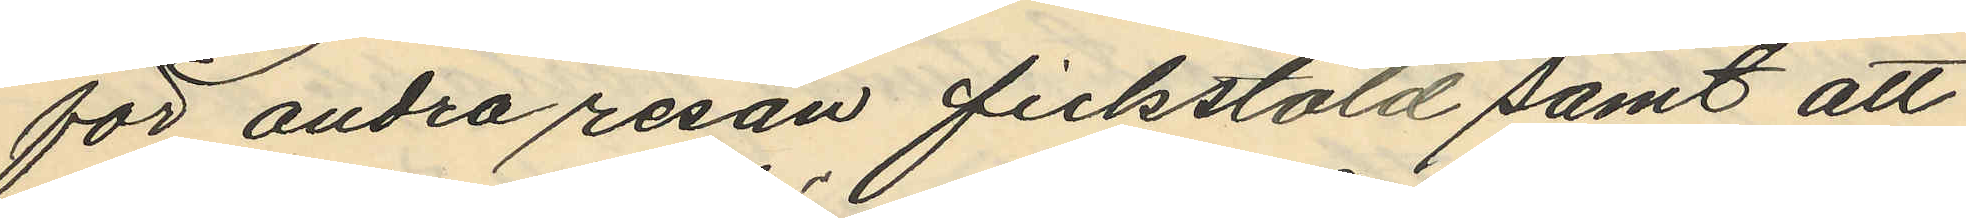för andra resan fickstöld samt att
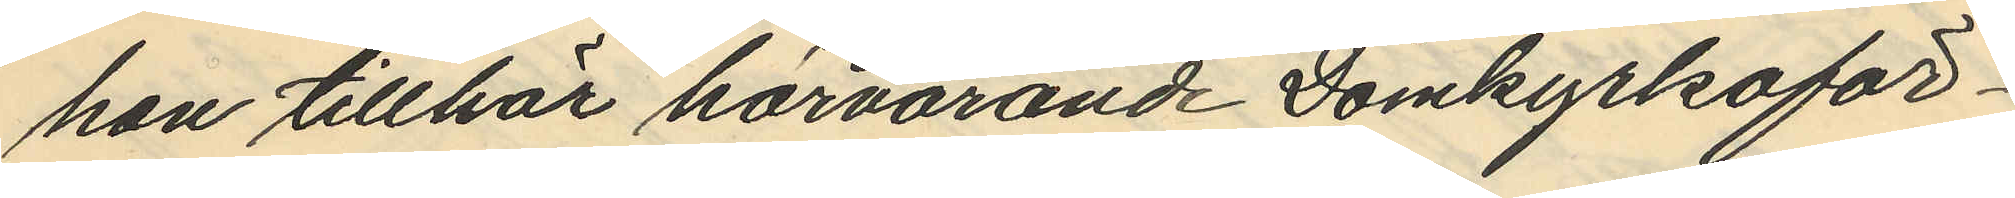hon tillhör härvarande Domkyrkoför¬
